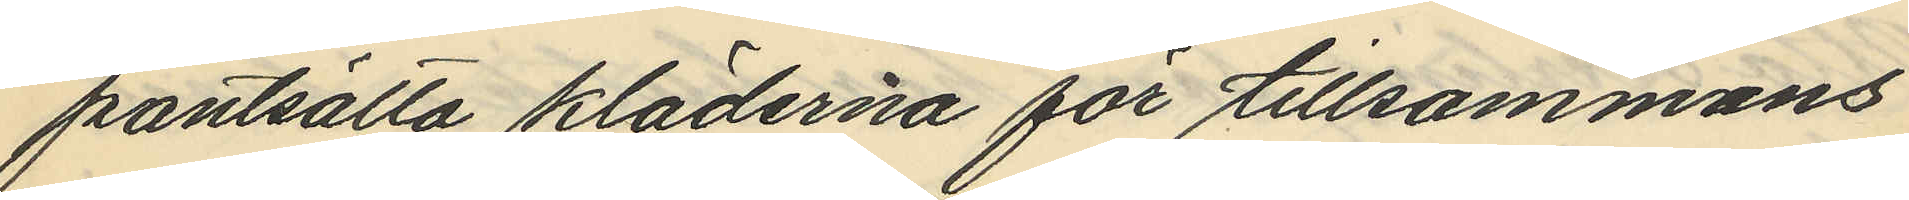pantsätta kläderna för tillsammans
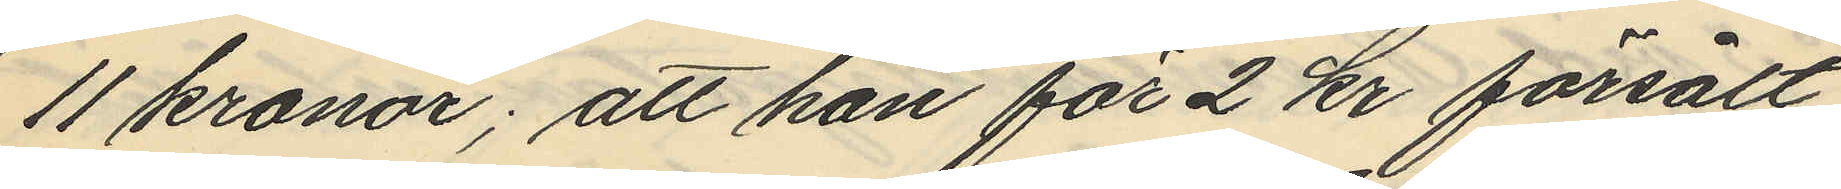11 kronor; att han för 2 kr försålt
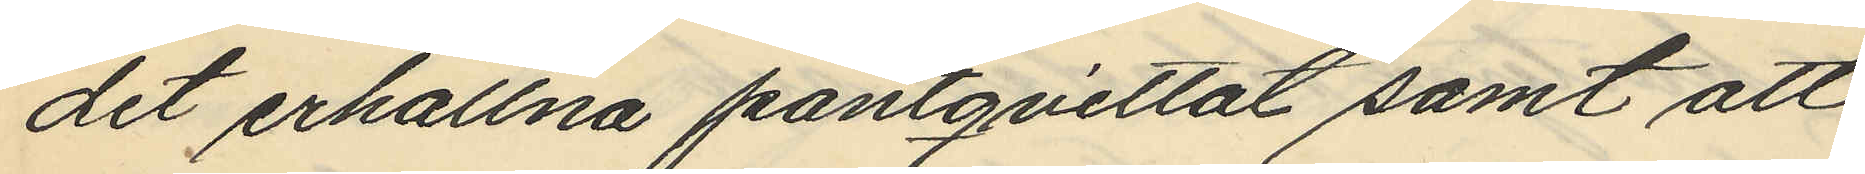det erhållna pantqvittot samt att
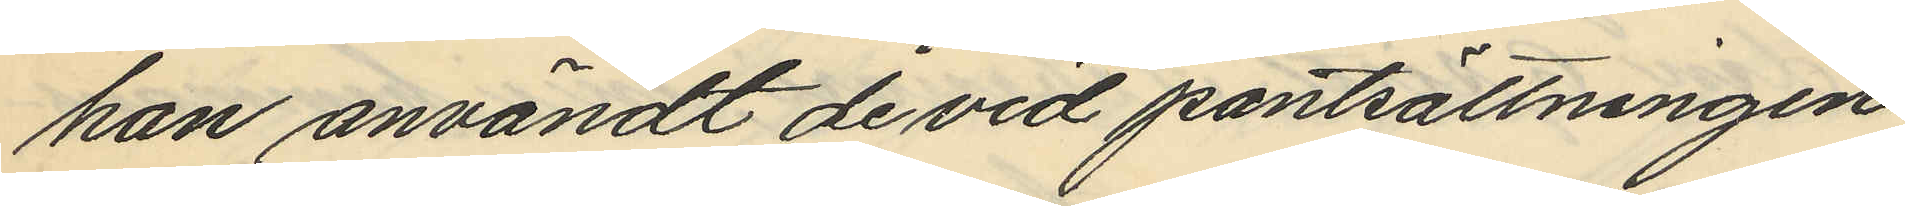han användt de vid pantsättningen
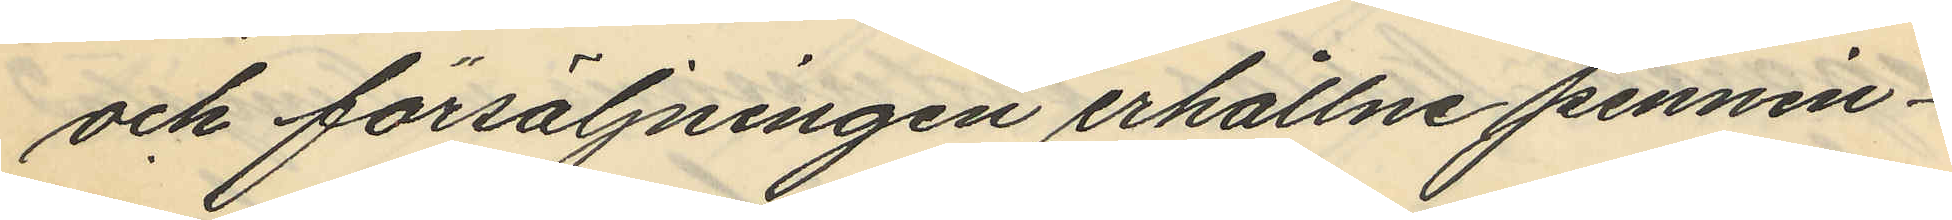och försäljningen erhållne pennin¬
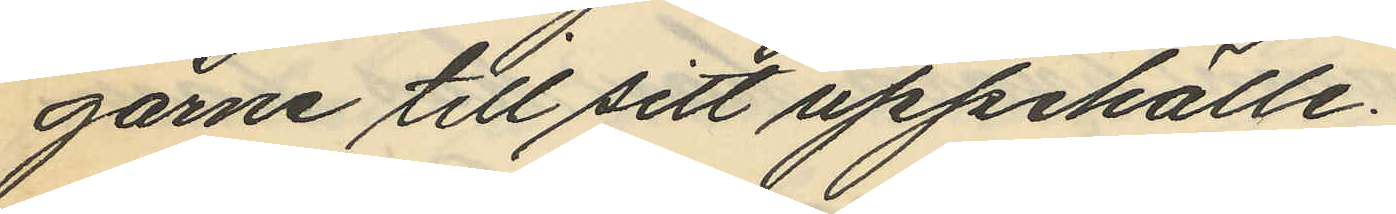garne till sitt uppehälle.
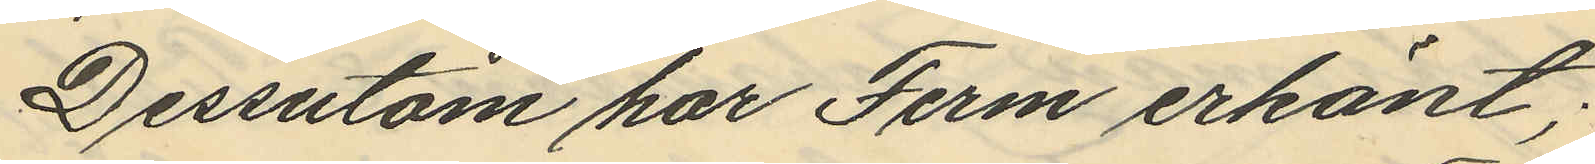Dessutom har Ferm erkänt;
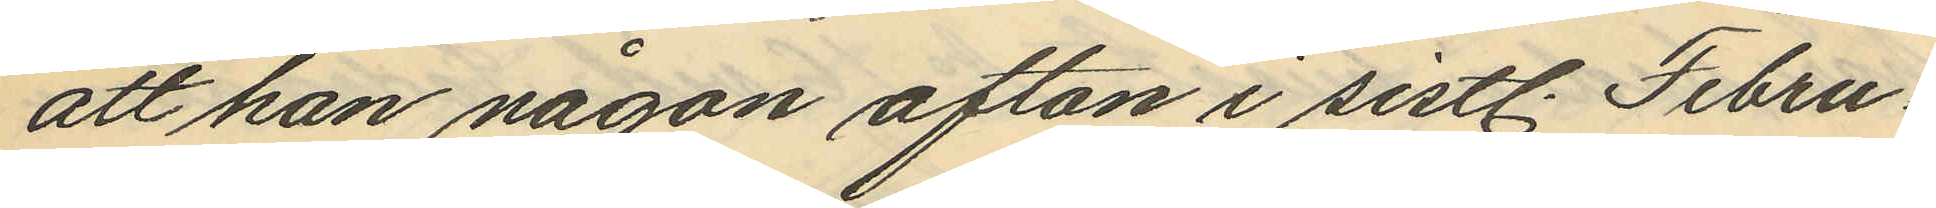att han någon afton i sistl. Febru¬
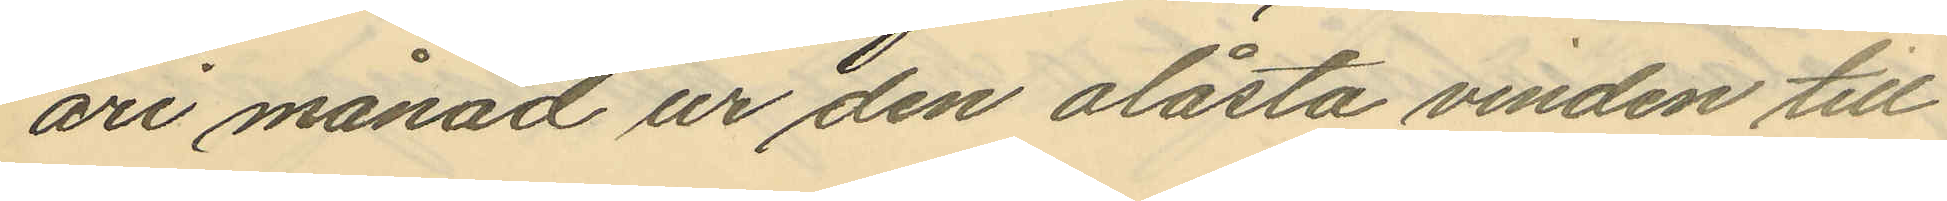ari månad ur den olåsta vinden till
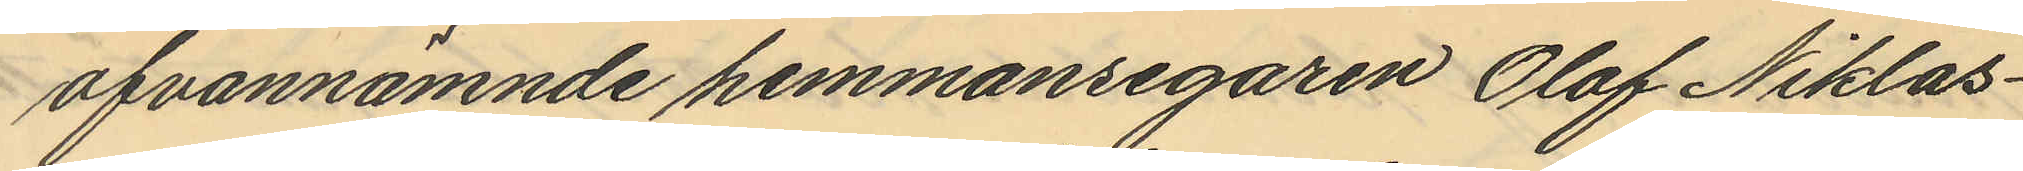ofvannämnde hemmansegaren Olof Niklas¬
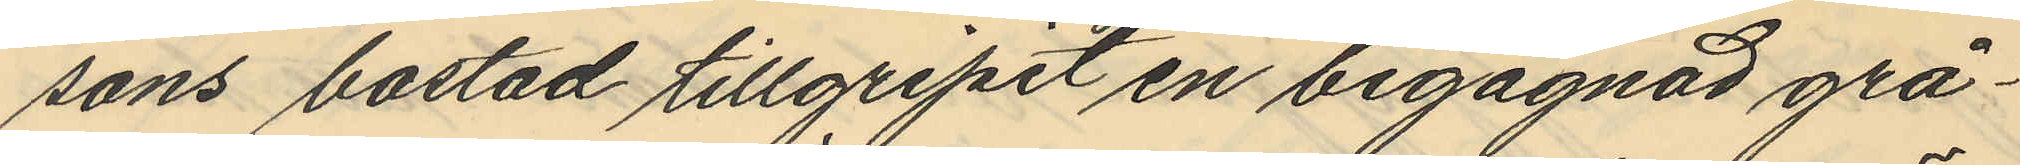sons bostad tillgripit en begagnad grå¬
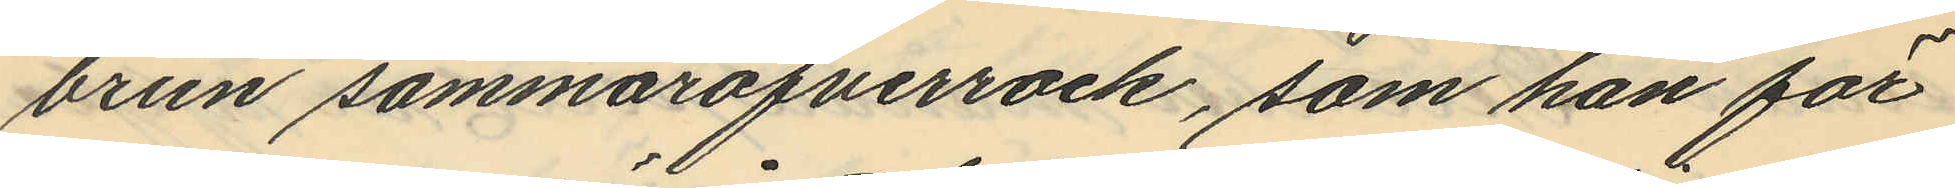brun sommaröfverrock, som han för
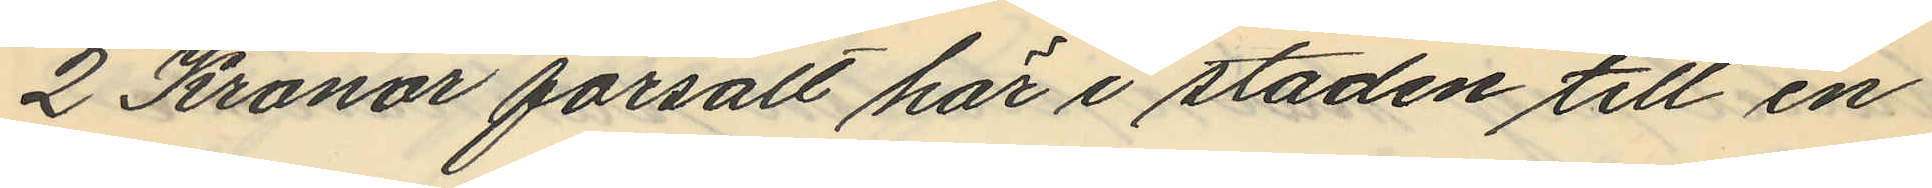2 Kronor försålt här i staden till en
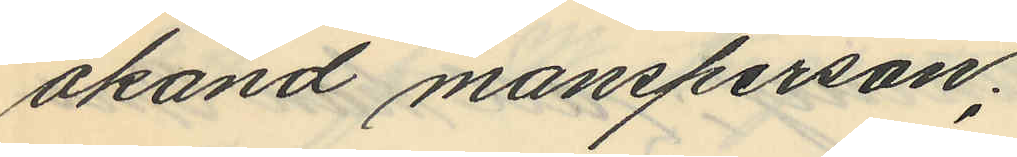okänd mansperson;
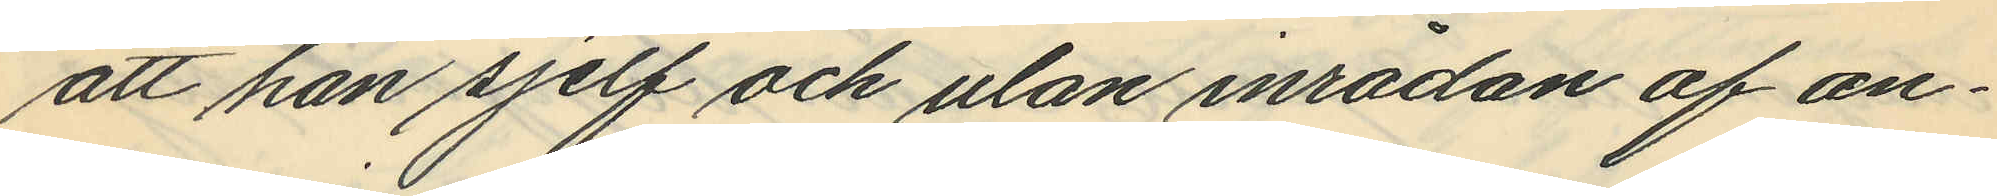att han sjelf och utan inrådan af an¬
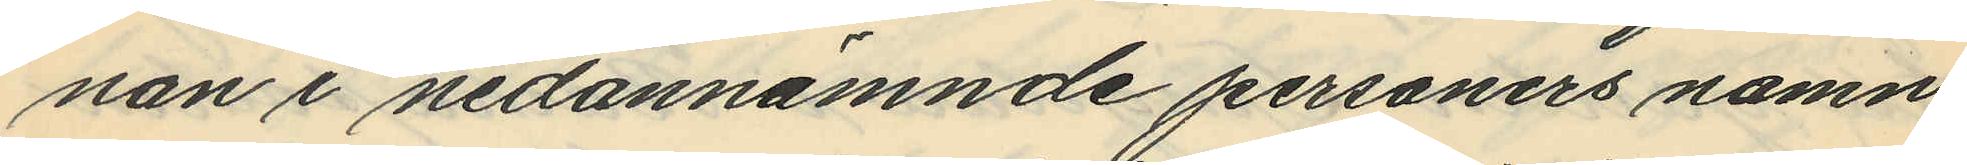nan i nedannämnde personers namn
